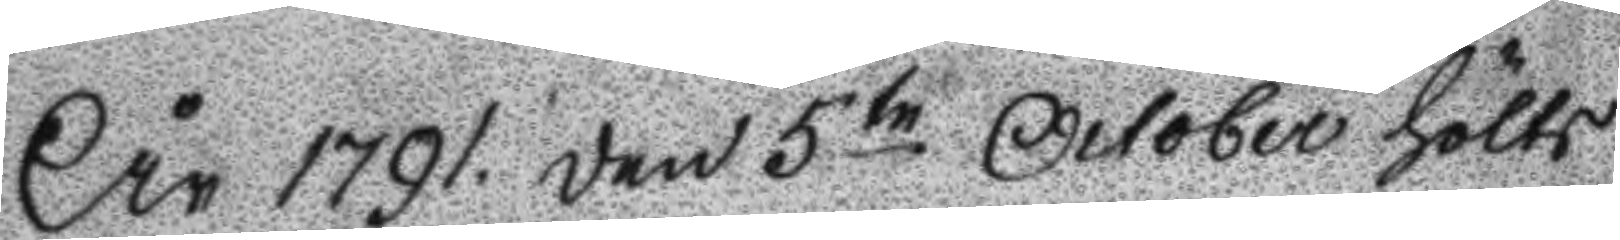År 1791. den 5te October hölts
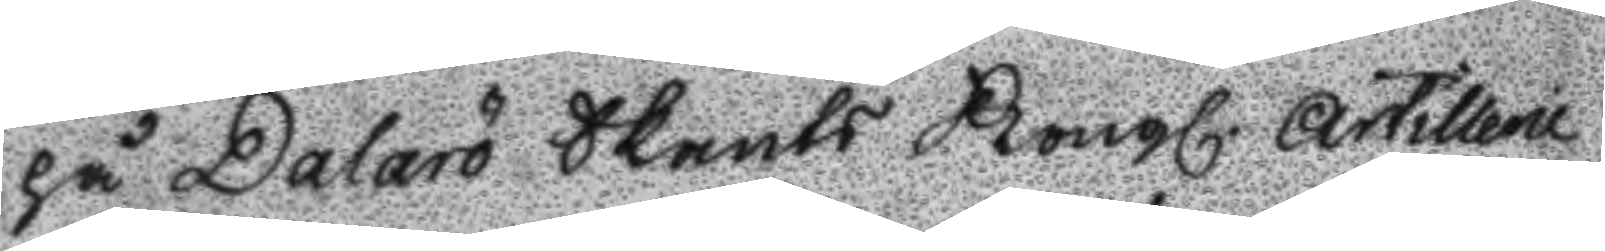på Dalarö Skants Kongl. artillerie
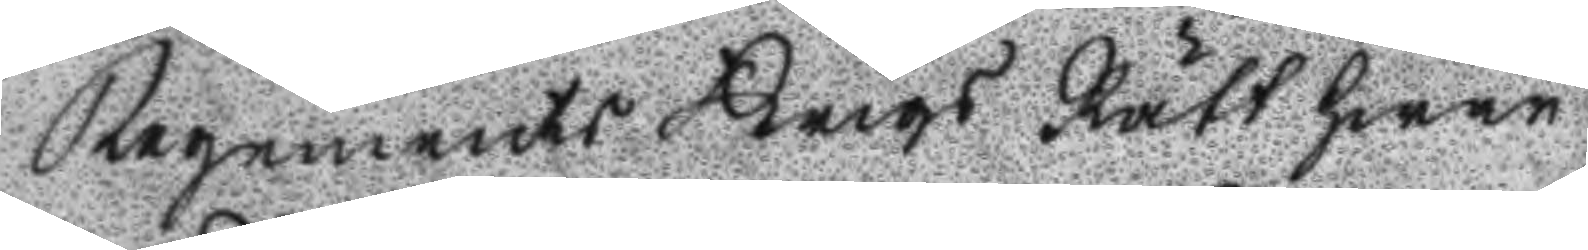Regements Krigs Rätt hwar
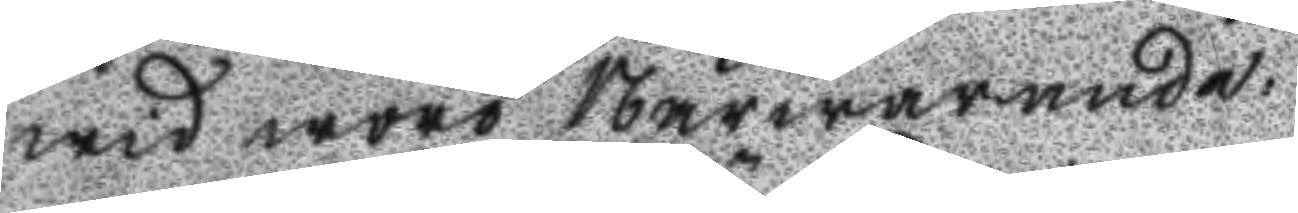wid woro Närwarande:
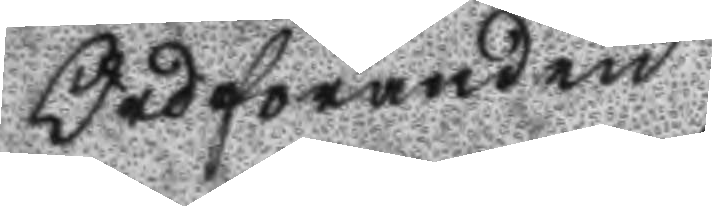Ordföranden
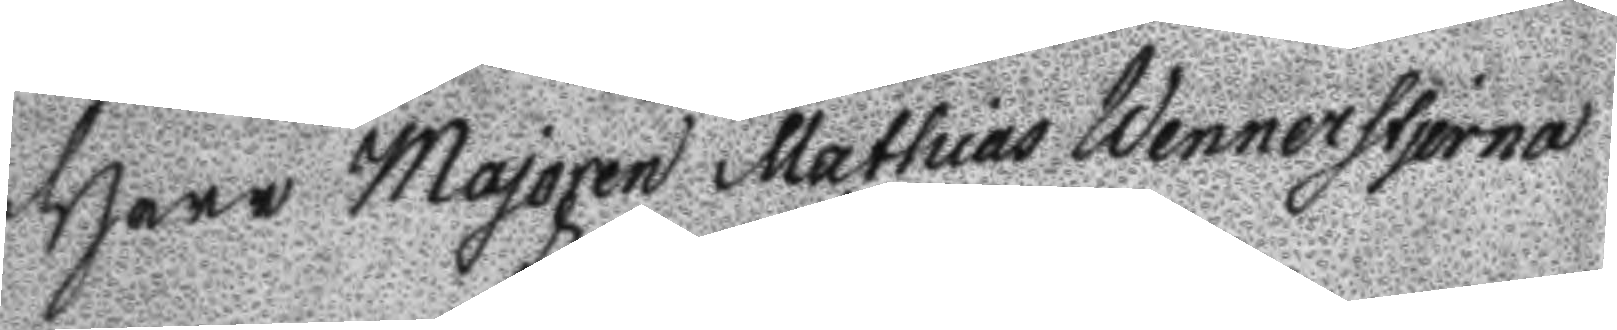Herr Majoren Mathias Wennerstjerna
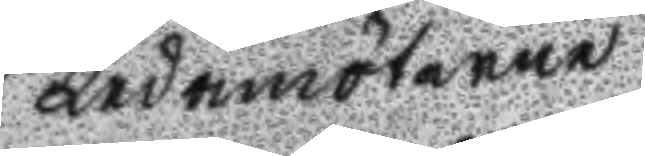Ledamöterne
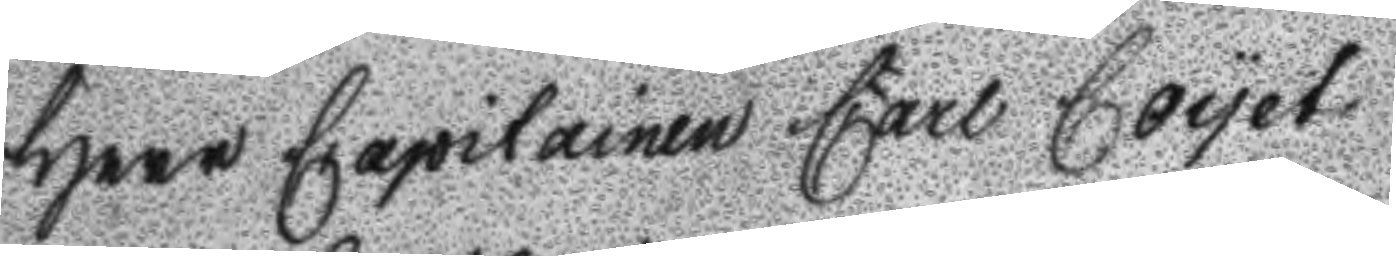Herr Capitainen Carl Coyet
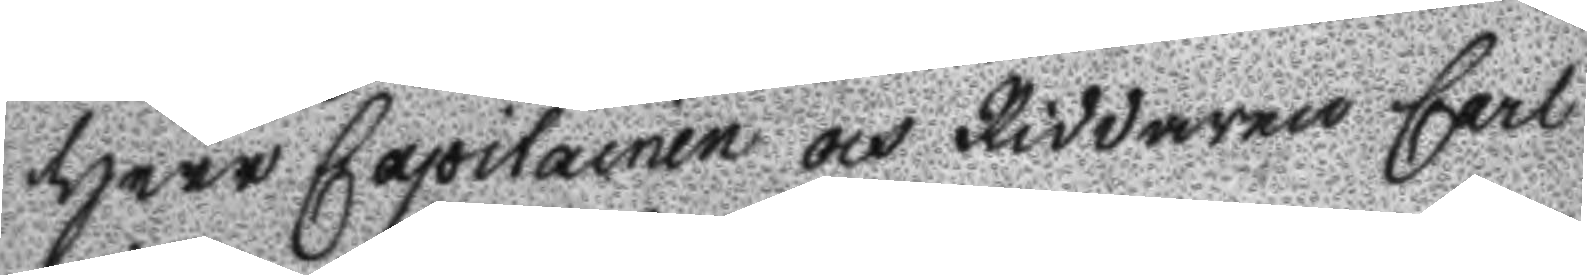Herr Caoitainen och Riddaren Carl
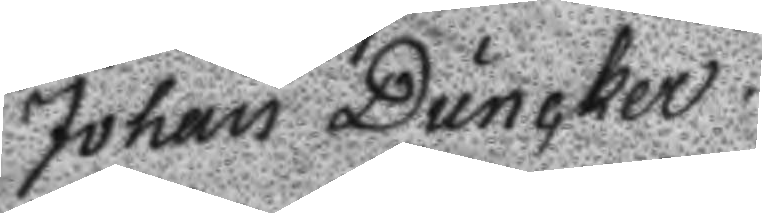Johan Duncker.
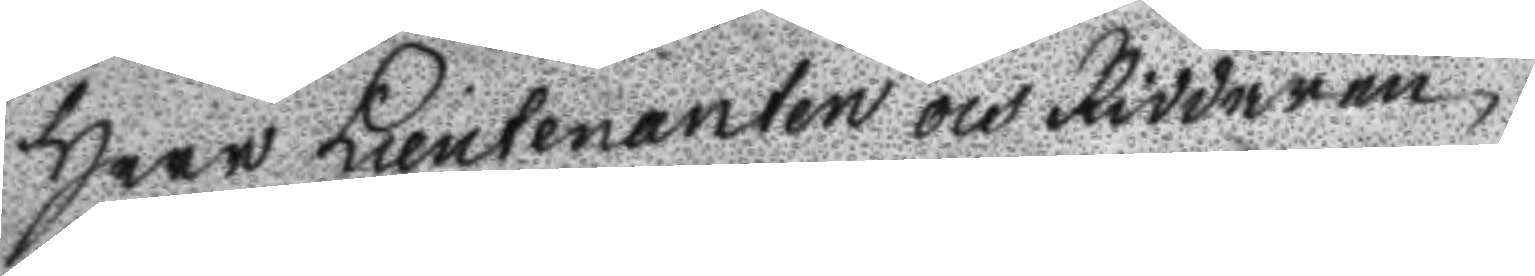Herr Lieutenanten och Riddaren
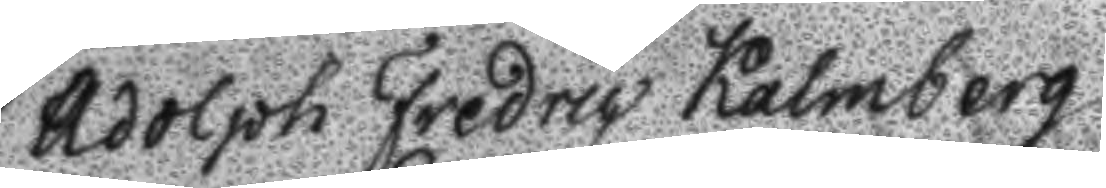Adolph Fredric Kalmberg
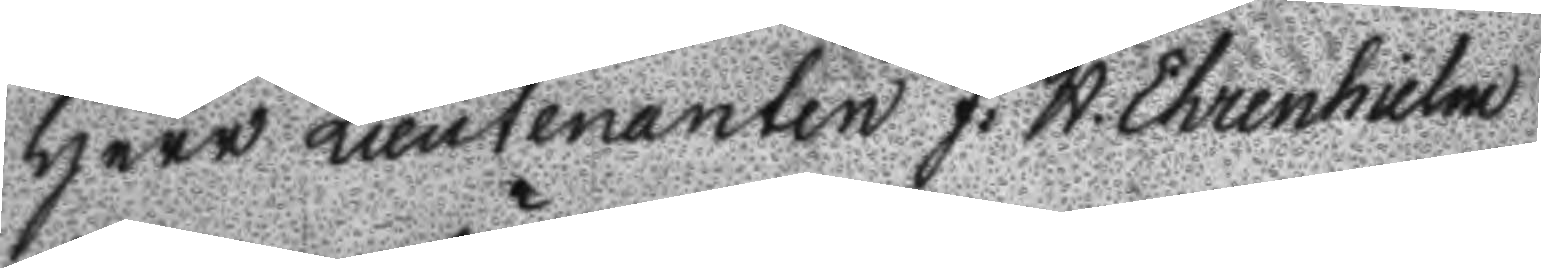Herr Lieutenanten J: H: Ehrenhielm
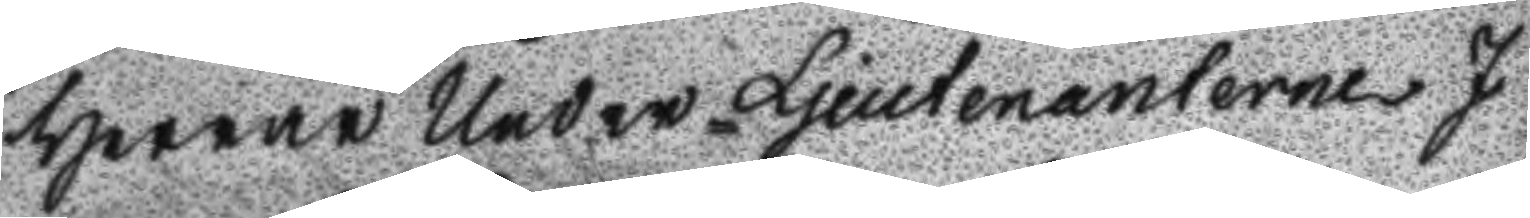Herrar Under-Ljeutenanterne J
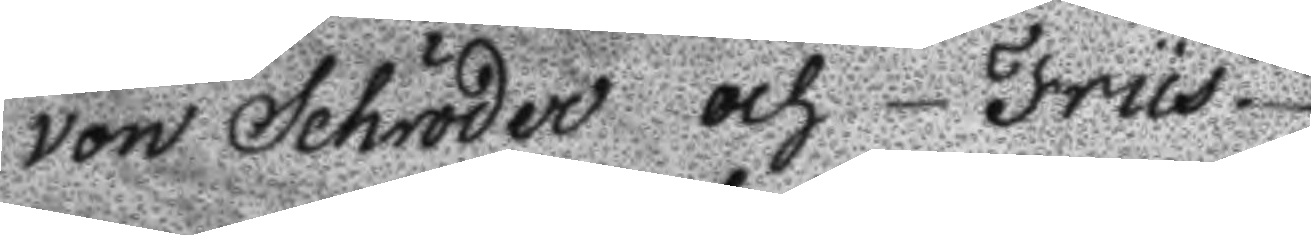von Schröder och Friis.
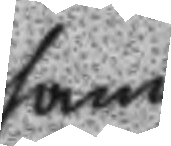samt
